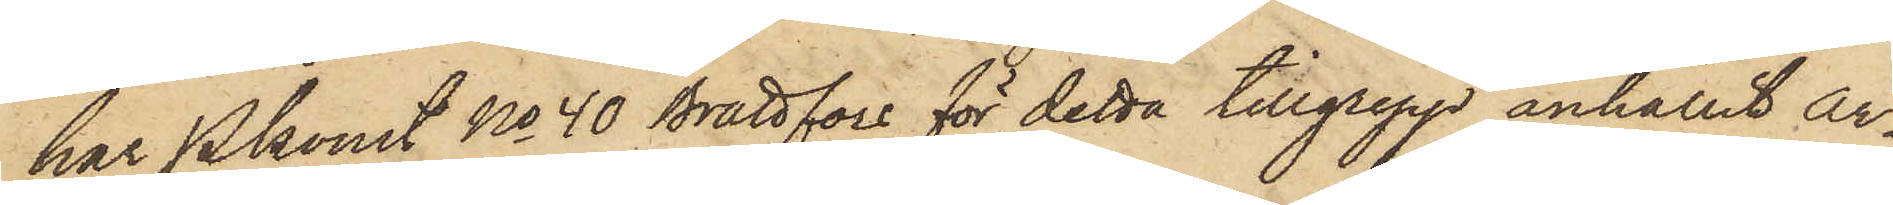har Pkonst No 40 Brattfors för detta tillgrepp anhållit Ar¬
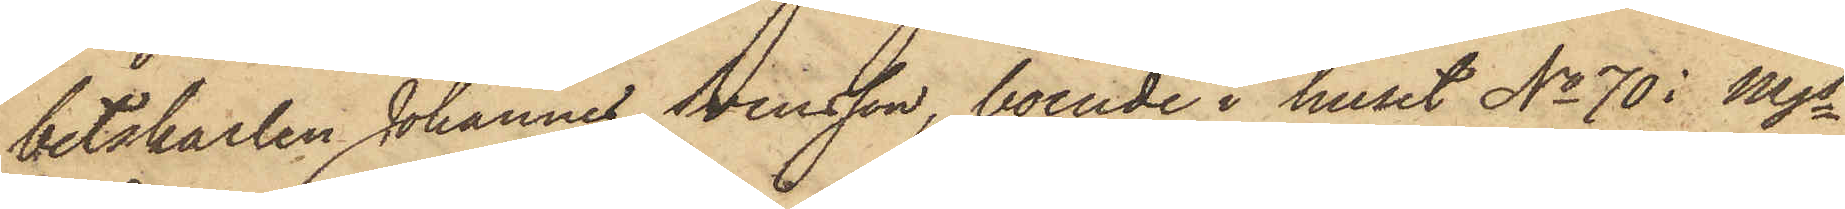betskarlen Johannes Svensson, boende i huset No 70 i Mjs
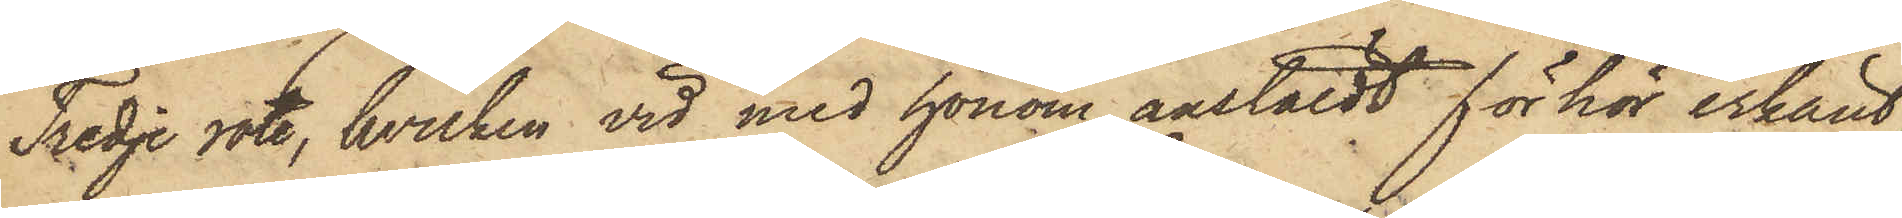Tredje rote, hvilken vid med honom anstäldt förhör erkänt,
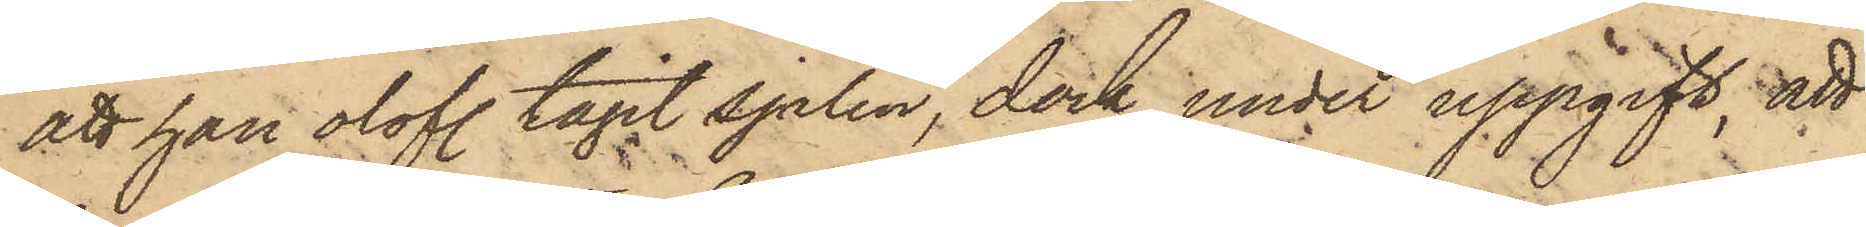att han olofl. tagit sjalen, dock under uppgift; att
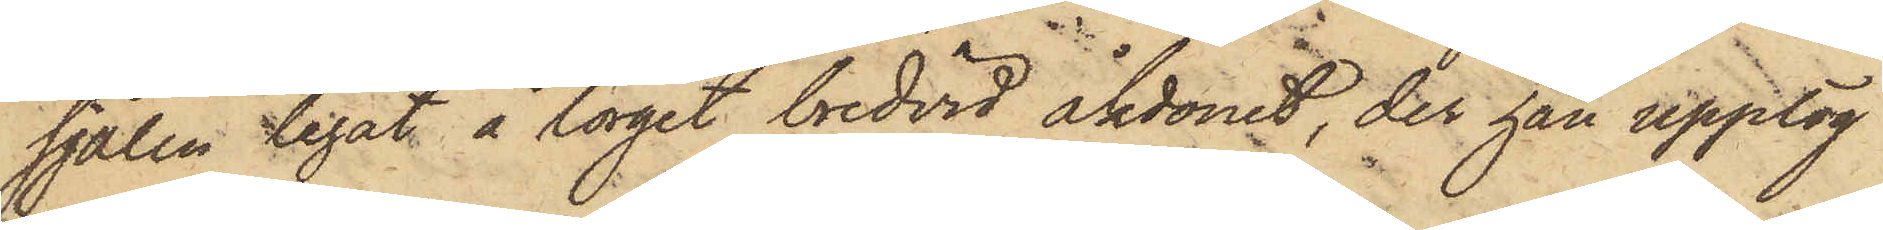sjalen legat å torget bredvid åkdonet, der han upptog
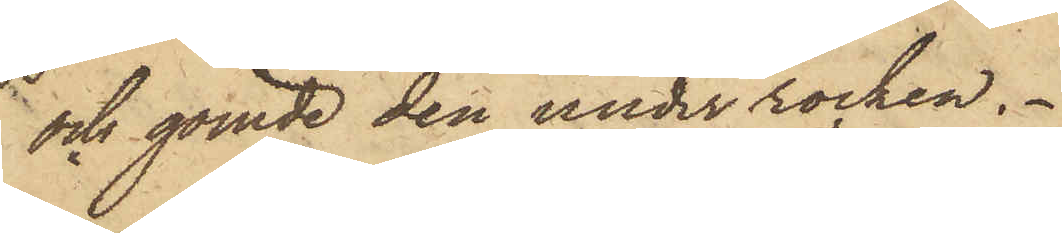och gömde den under rocken.
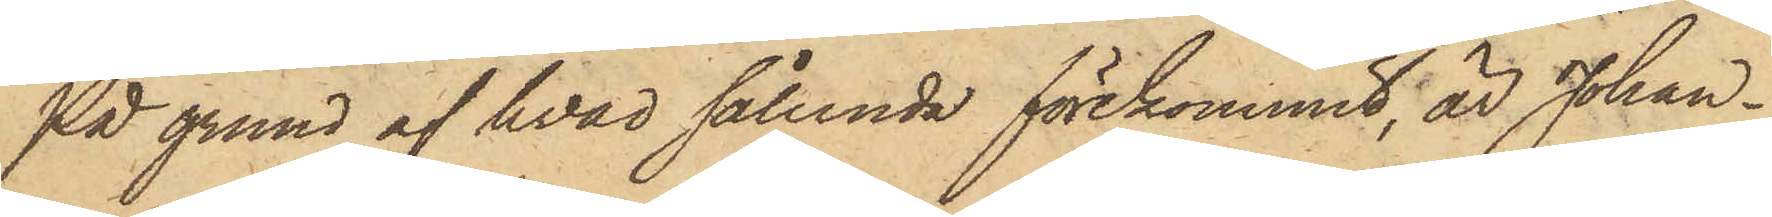På grund af hvad sålunda förekommit, är Johan¬
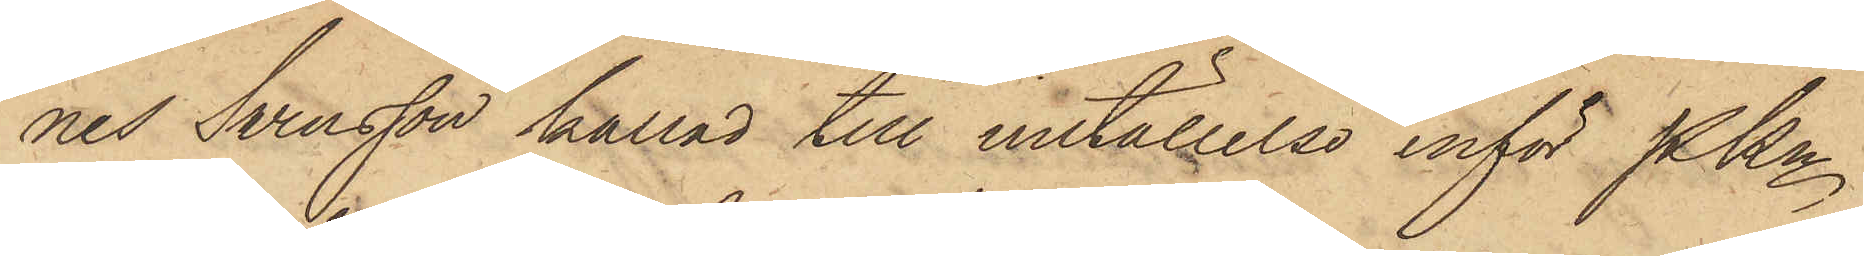nes Svensson kallad till inställelse inför PKn
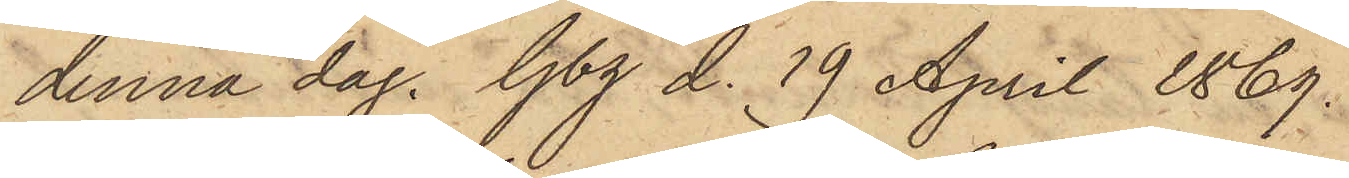denna dag. Gbg d. 19 April 1869.
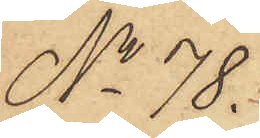No 78.
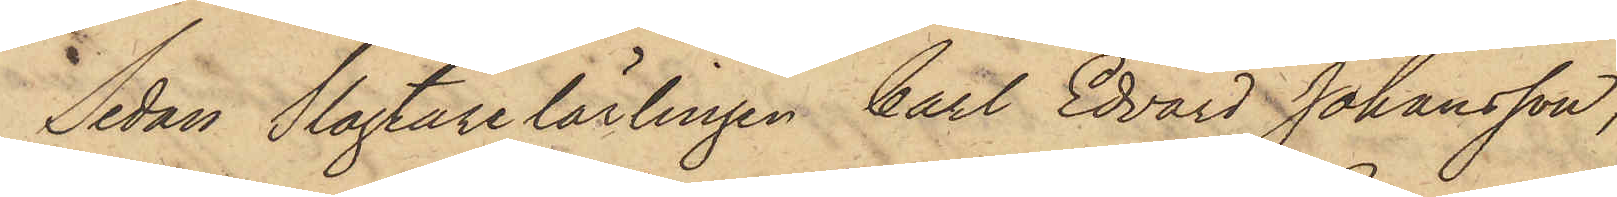Sedan Slagtarelärlingen Carl Edvard Johansson,
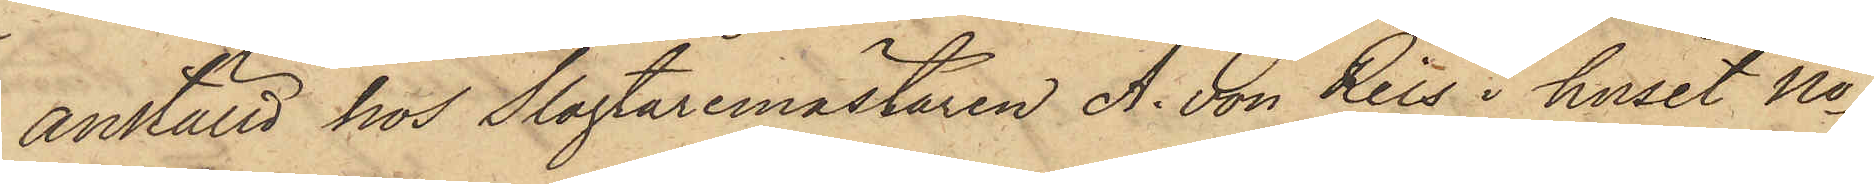anställd hos Slagtaremästaren A. von Reis i huset No
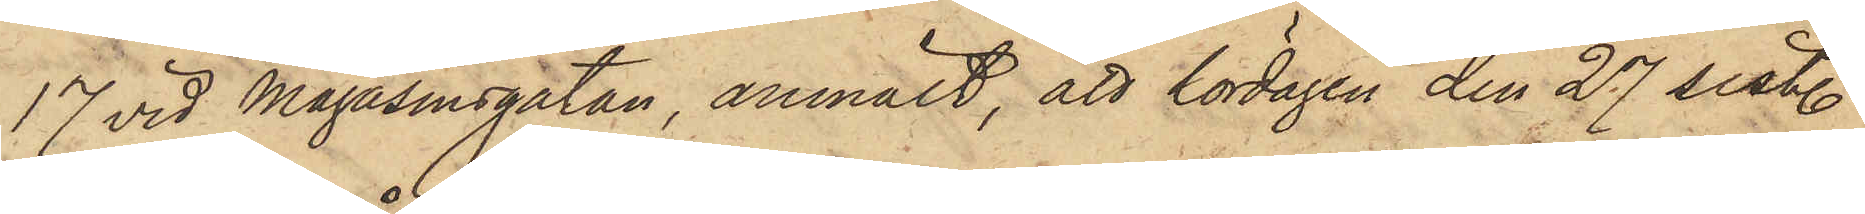17 vid Magasinsgatan, anmält, att lördagen den 27 sist.
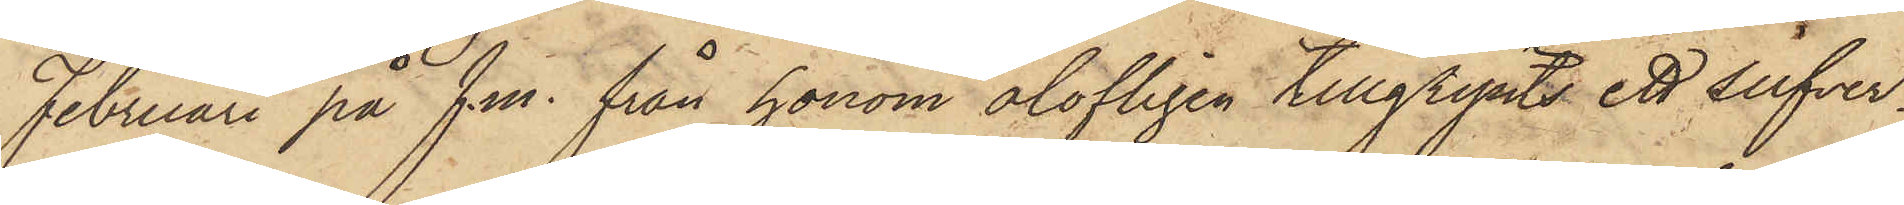Februari på f.m. från honom olofligen tillgripits ett silfver¬
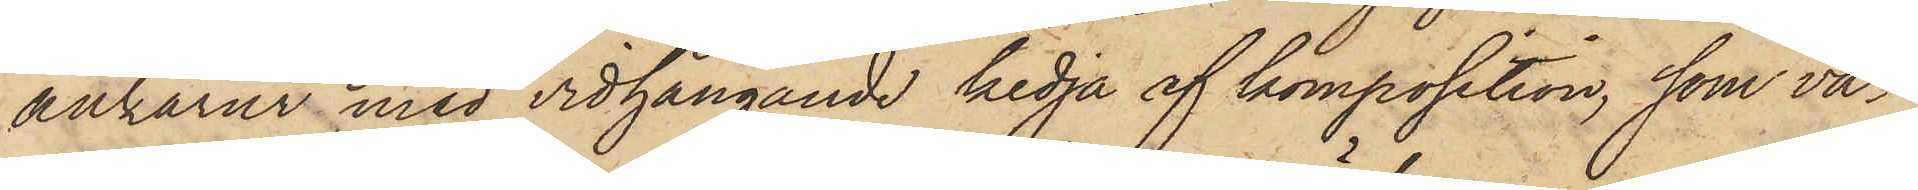ankarur med vidhängande kedja af komposition, som va¬
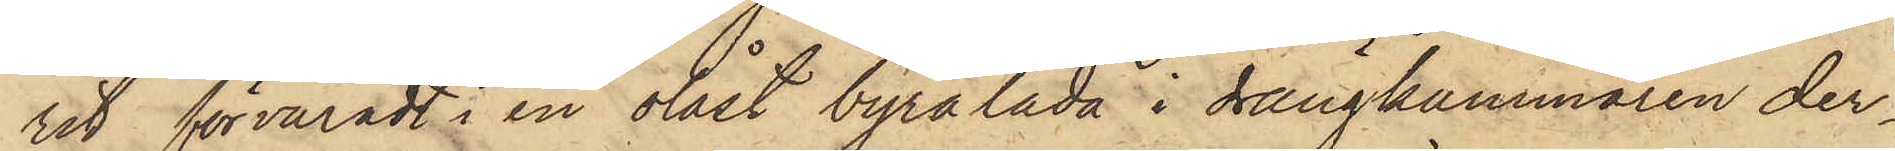rit förvaradt i en olåst byrålåda i drängkammaren der¬
